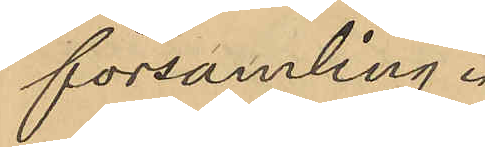församling.
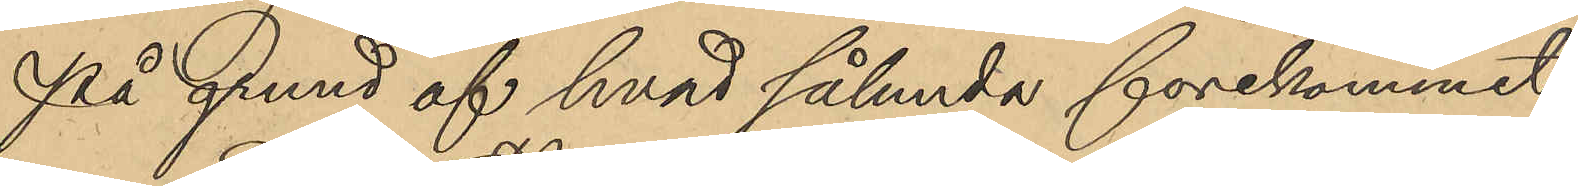På grund af hvad sålunda förekommit,
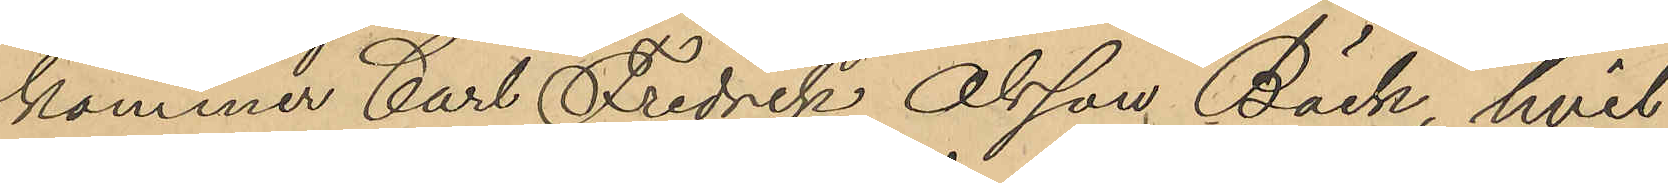kommer Carl Fredrik Olsson Bäck, hvil¬
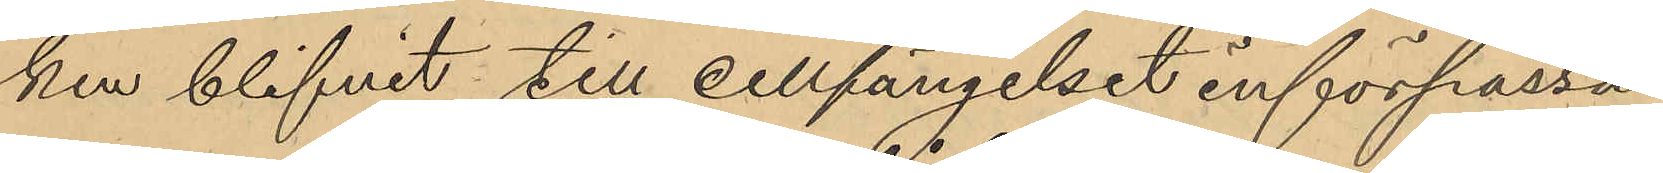ken blifvit till cellfängelset införpassad
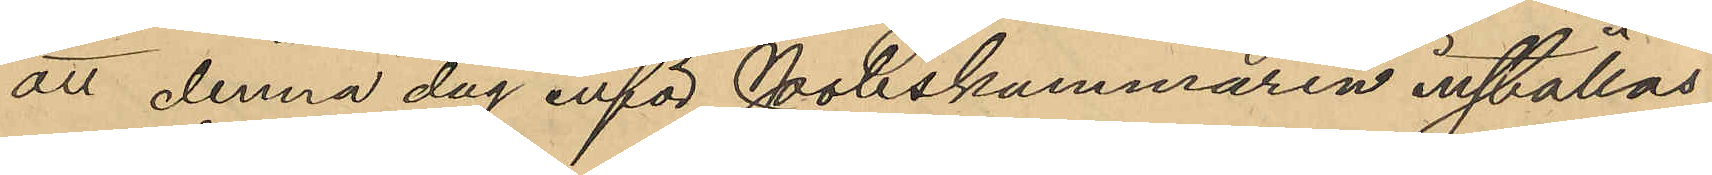att denna dag inför Poliskammaren inställas.
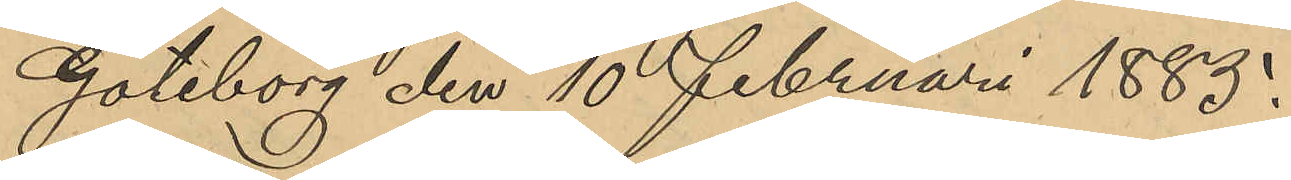Göteborg den 10 Februari 1885.
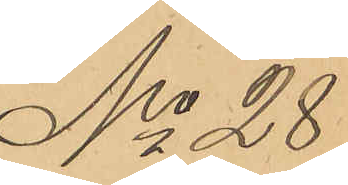No 28
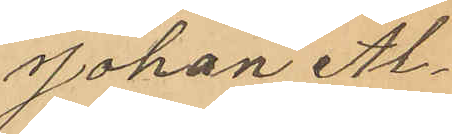Johan Al¬
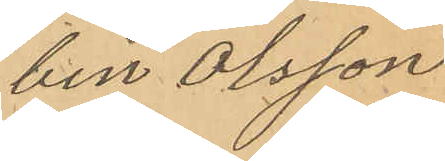bin Olsson
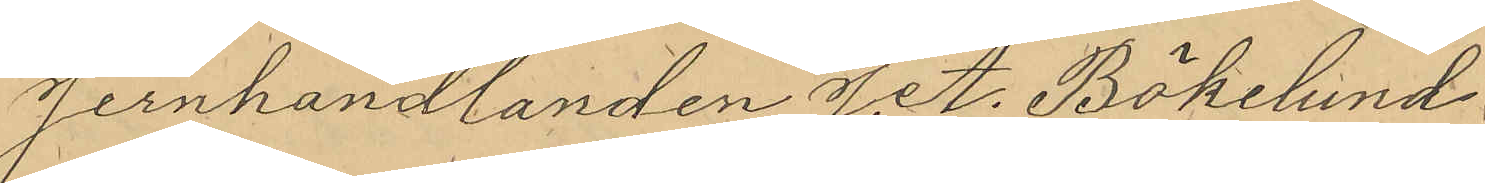jernhandlanden J. A. Bökelund
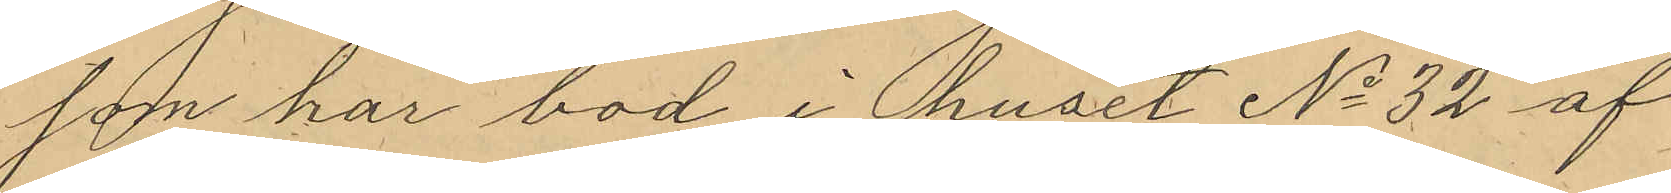som har bod i huset No 32 af
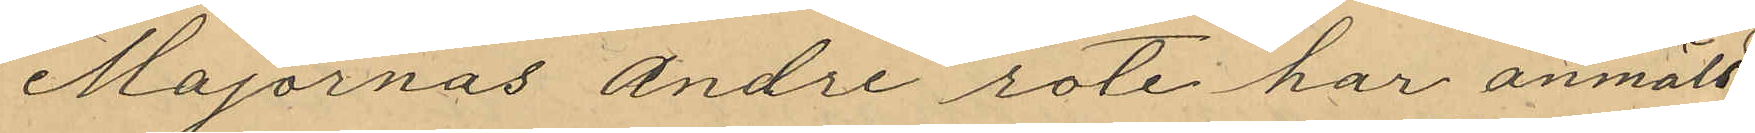Majornas andre rote har anmält;
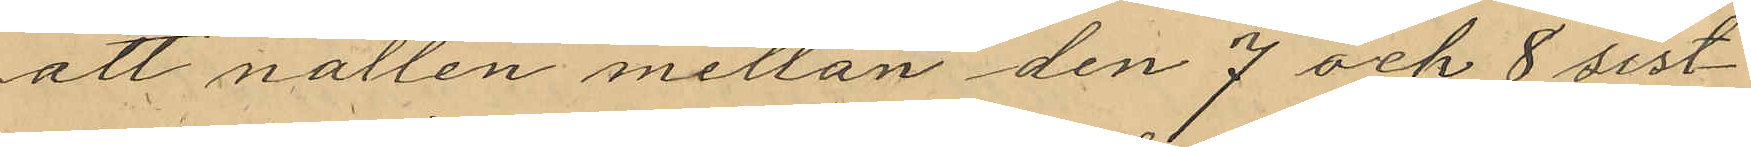att natten mellan den 7 och 8 sist¬
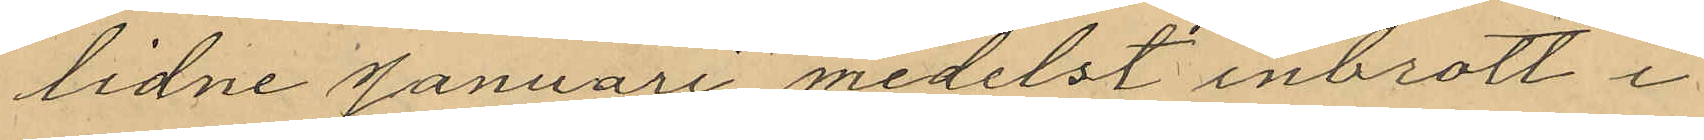lidne Januari medelst inbrott i
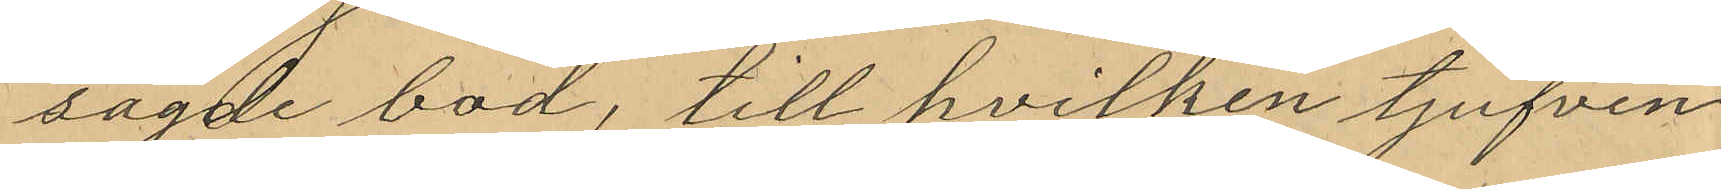sagde bod, till hvilken tjufven
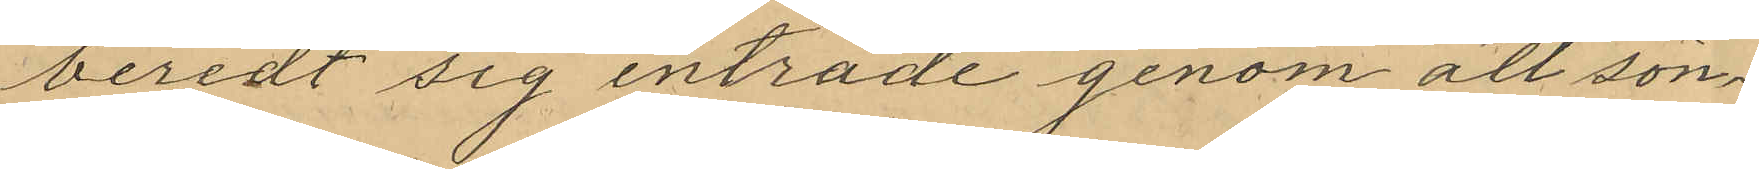beredt sig inträde genom att sön¬
